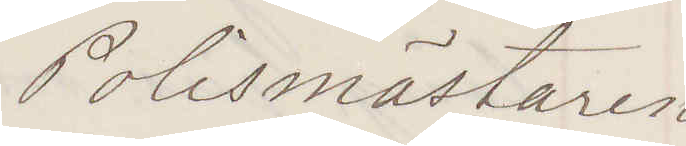Polismästaren
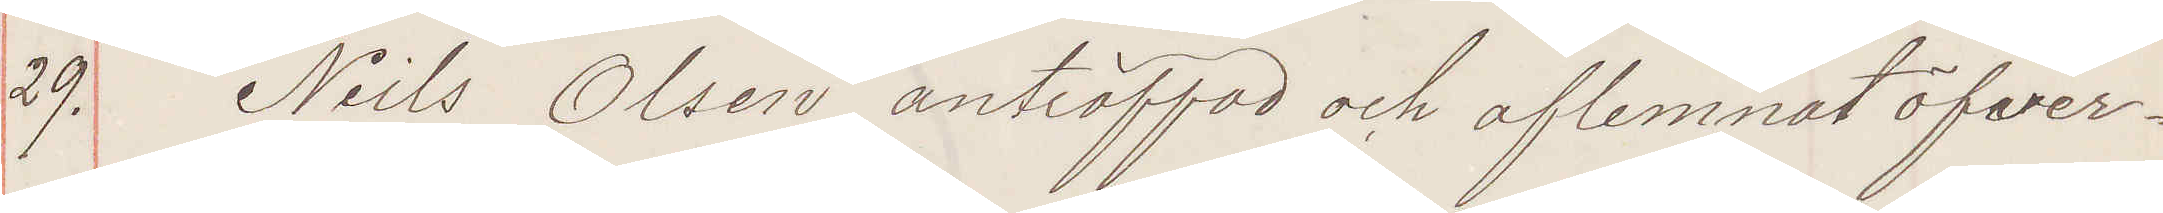29. Niels Olsen anträffad och aflemnat öfver¬
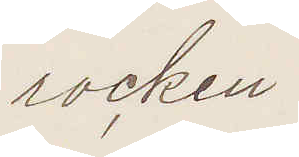rocken.
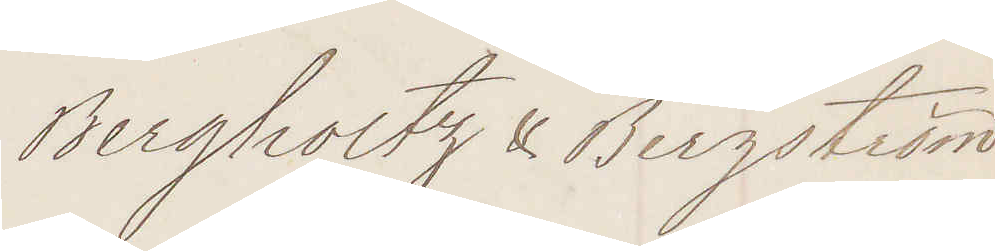Bergholtz & Bergström
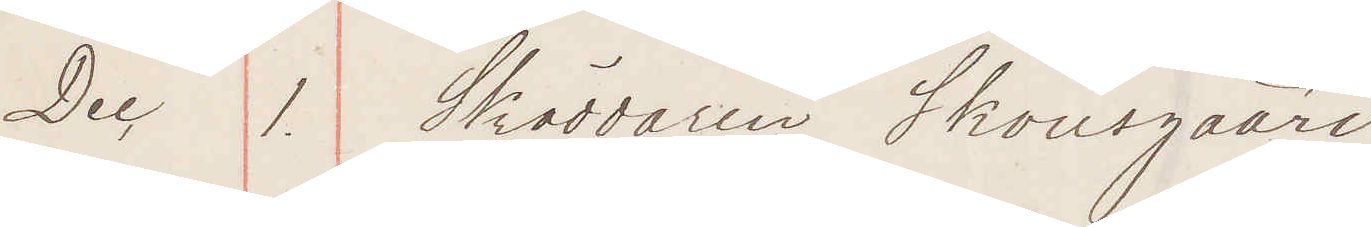Dec 1. Skräddaren Skousgaard
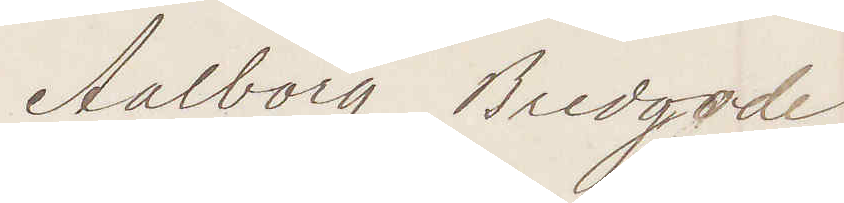Aalborg Bredgade
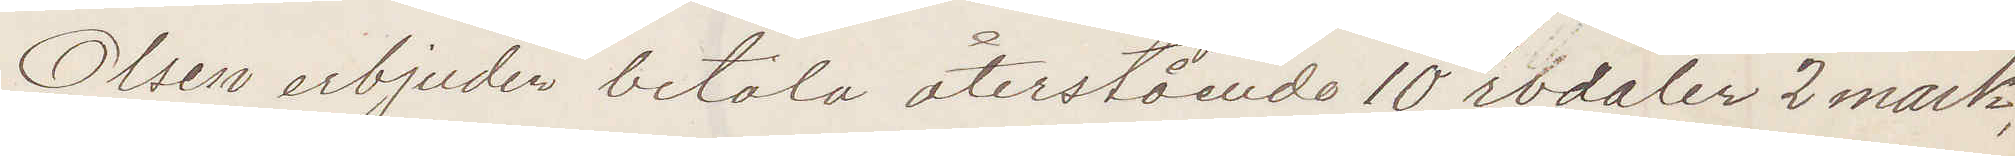Olsen erbjuder betala återstående 10 rbdaler 2 mark
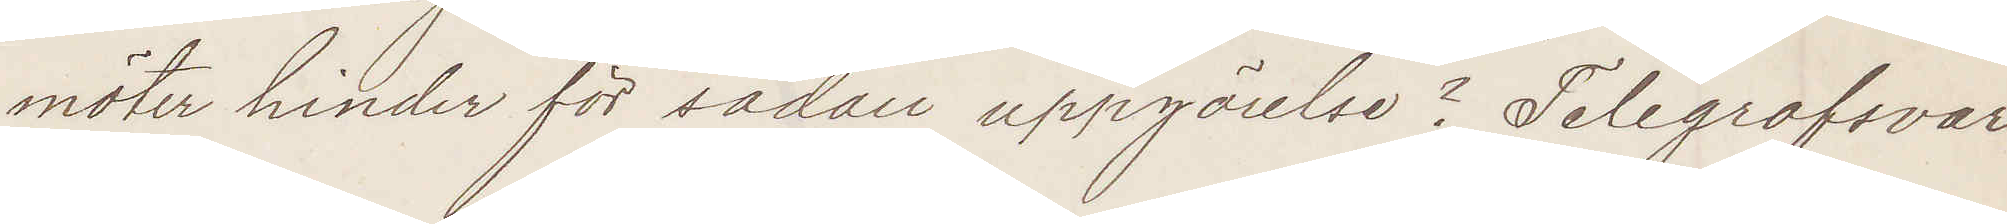möter hinder för sådan uppgörelse Telegrafsvar.
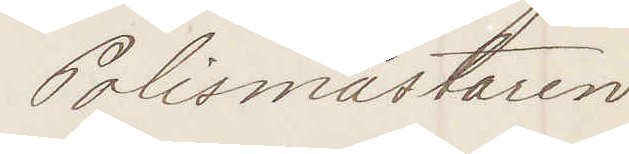Polismästaren.
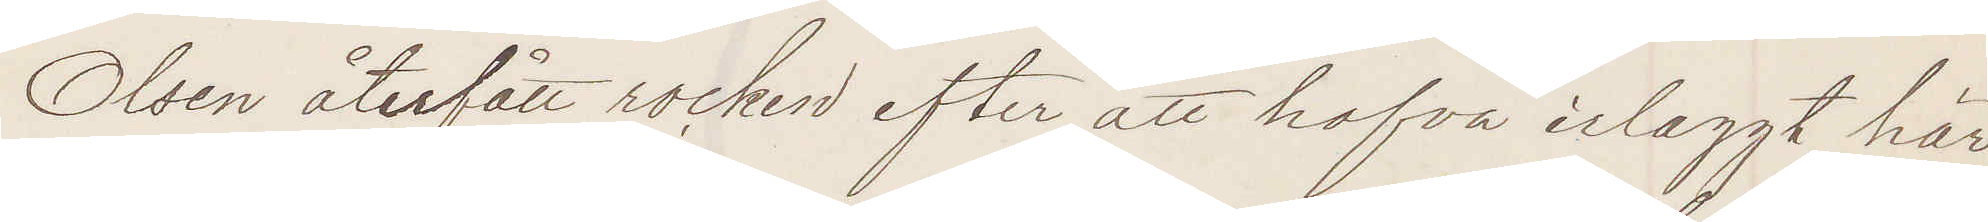Olsen återfår rocken efter att hafva erlaggt här
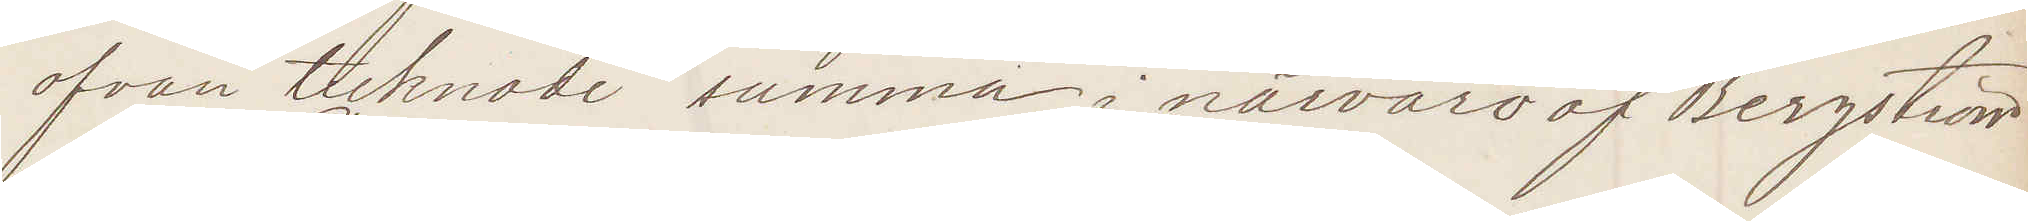ofvan tecknade summa i närvaro af Bergström
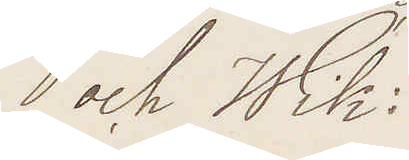och Wik:
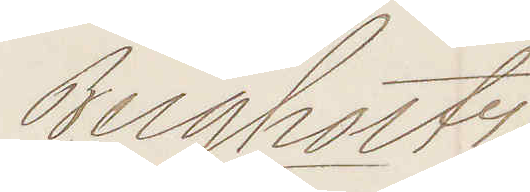Bergholtz
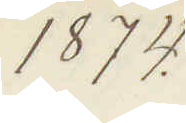1874.
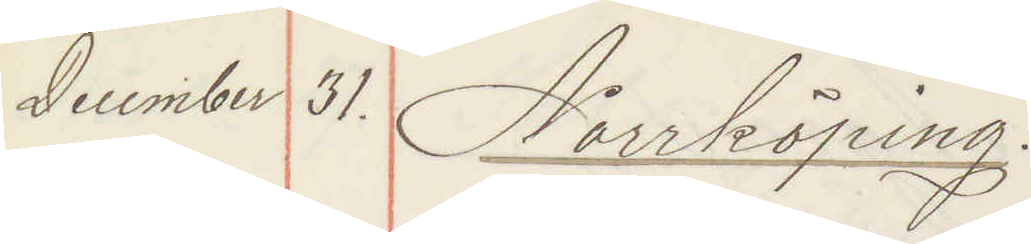December 31. Norrköping:
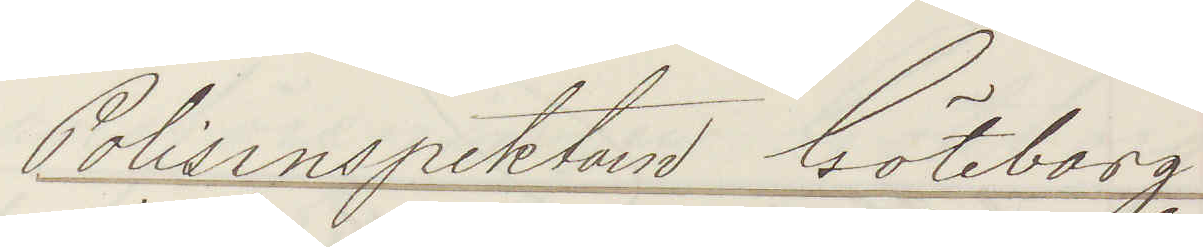Polisinspektorn Göteborg
